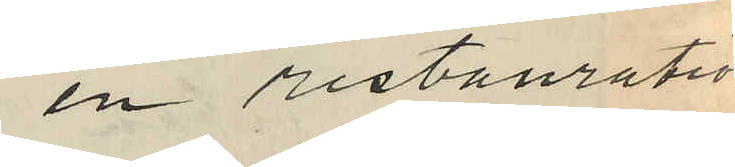en restauration
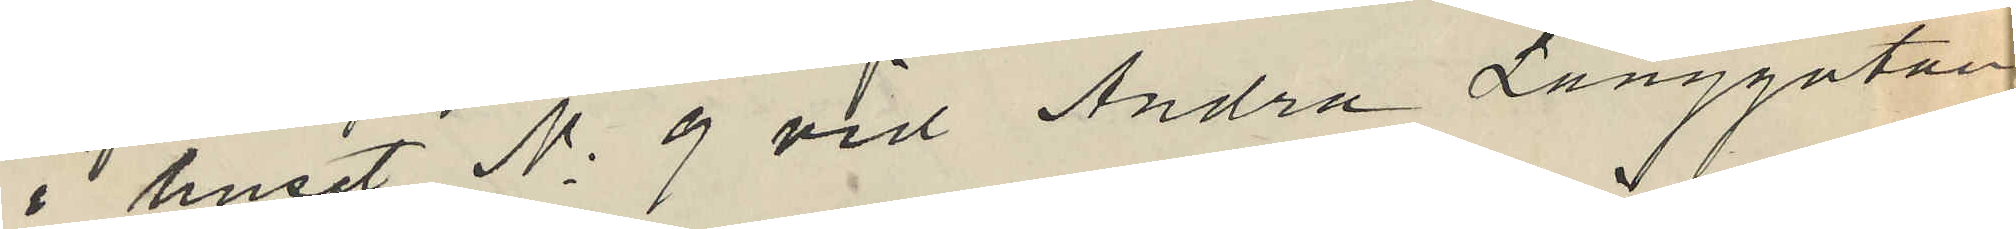i huset No 9 vid Andra Långgatan;
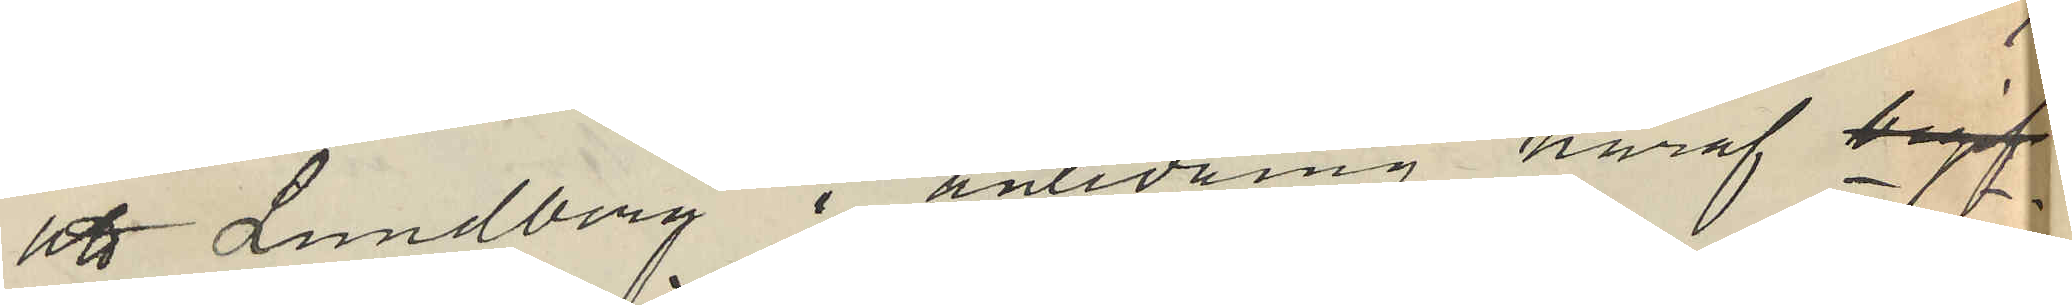att Lundberg i anledning häraf begif¬
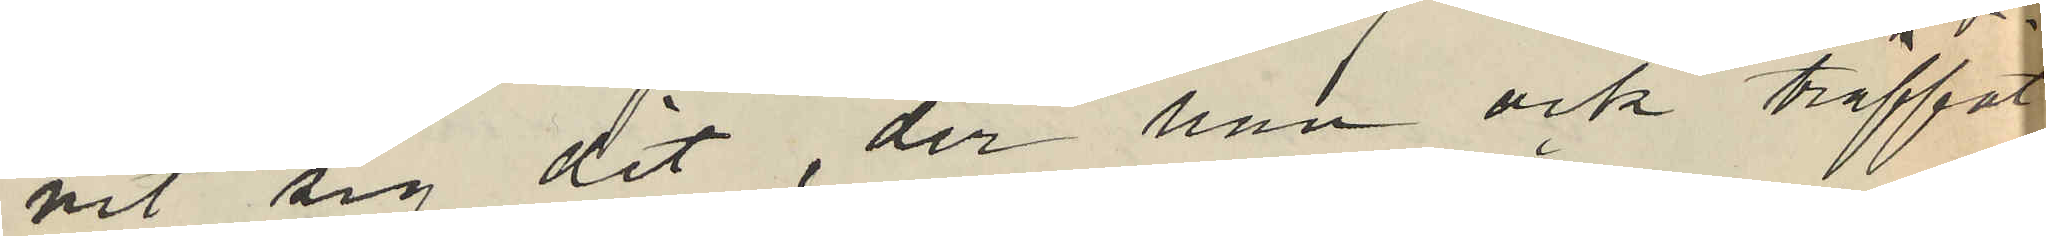vit sig dit, der han ock träffat
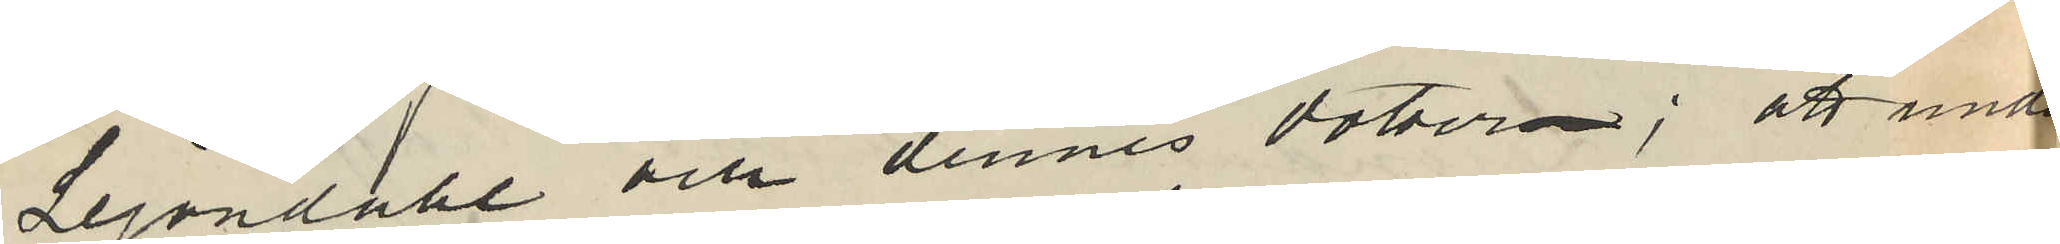Lejondahl och dennes dotter; att under
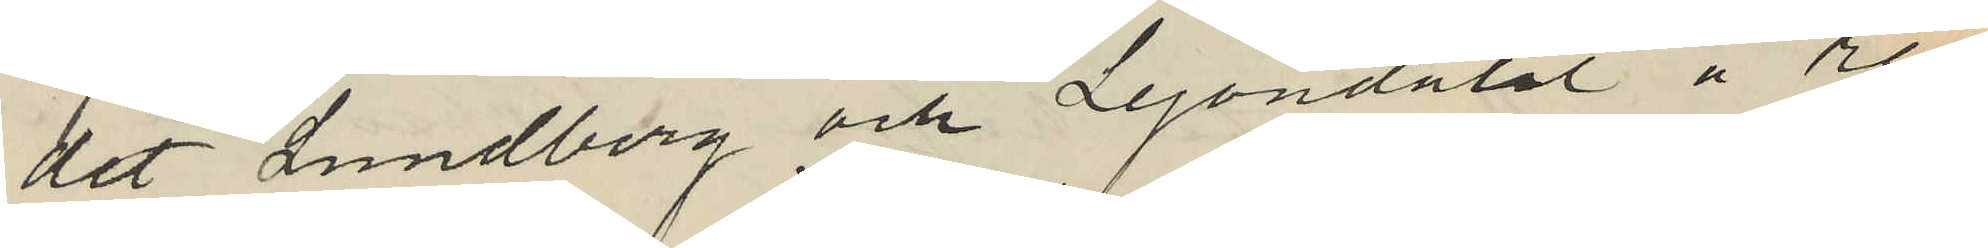det Lundberg och Lejondahl å re¬
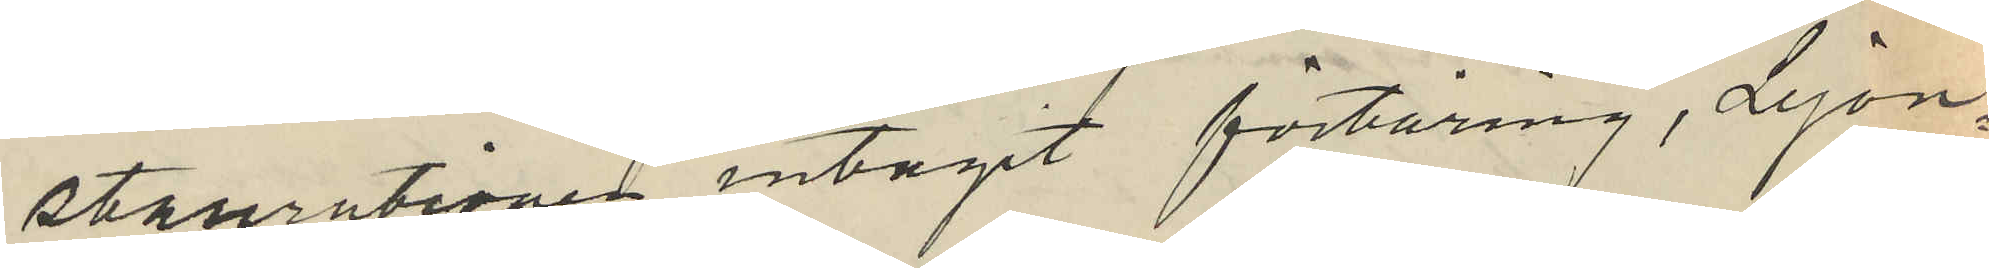staurationen intagit förtäring, Lejon¬
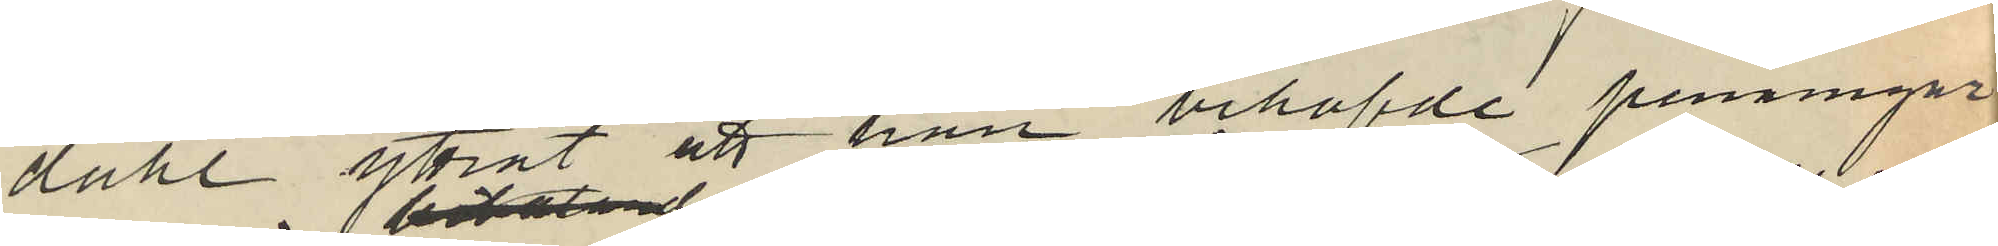dahl yttrat att han behöfde penningar
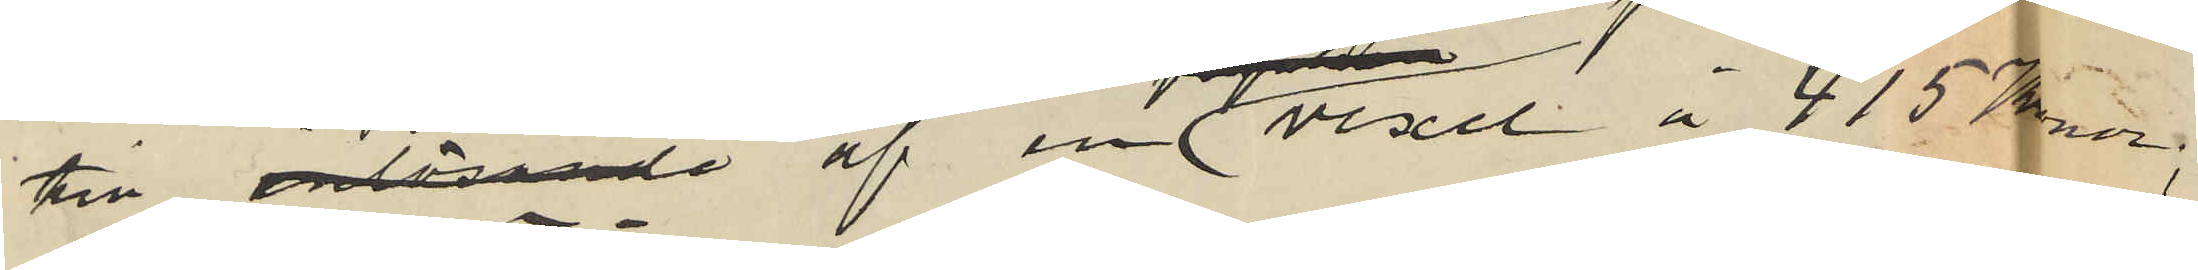till inlösande af en förfallen vexel å 415 Kronor;
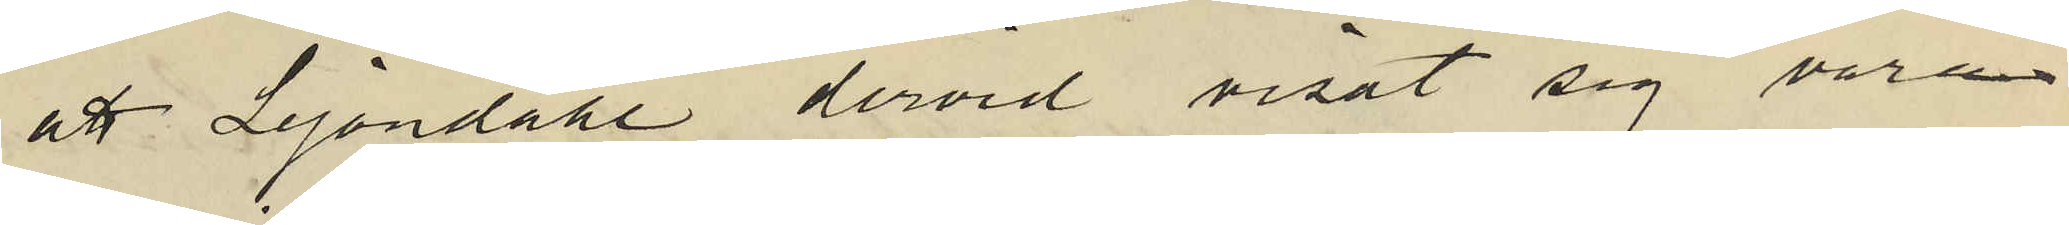att Lejondahl dervid visat sig vara
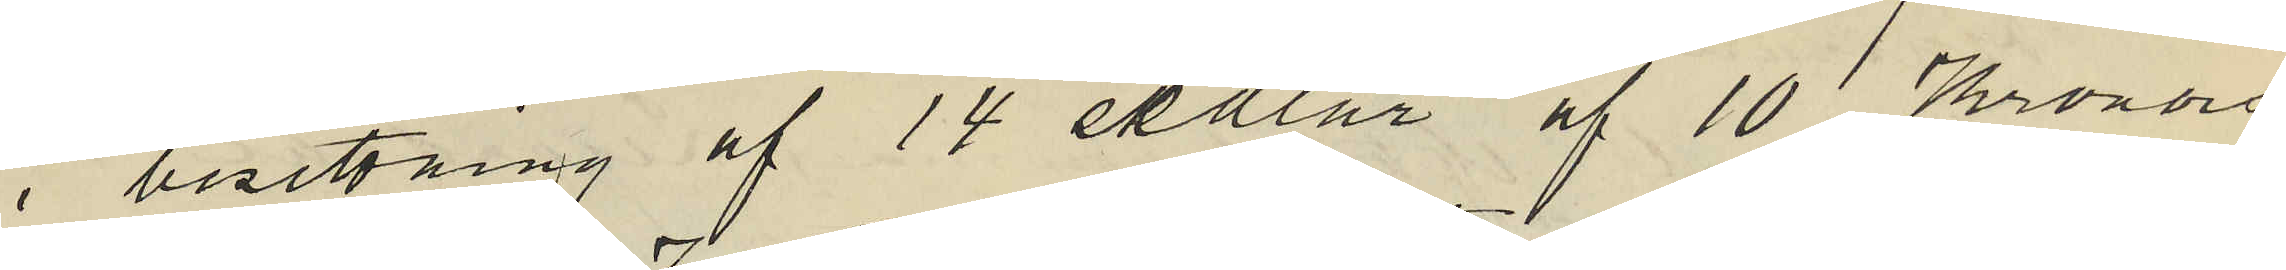i besittning af 14 sedlar af 10 Kronors
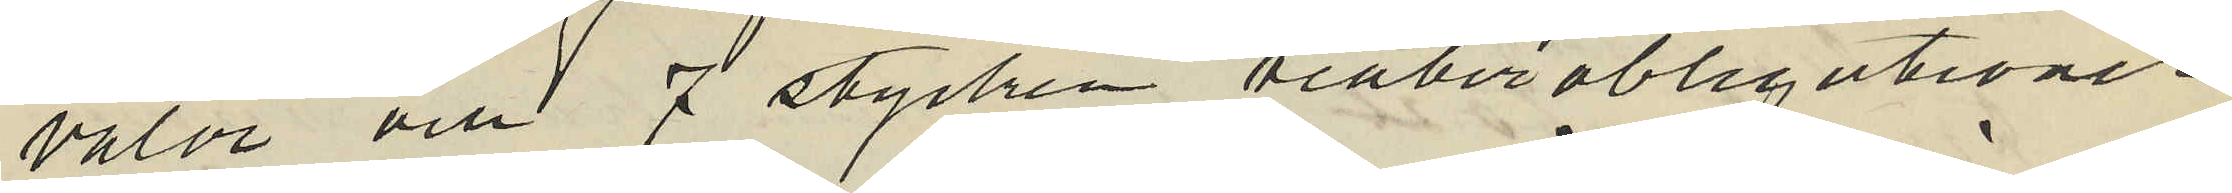valör och 7 stycken teaterobligationer
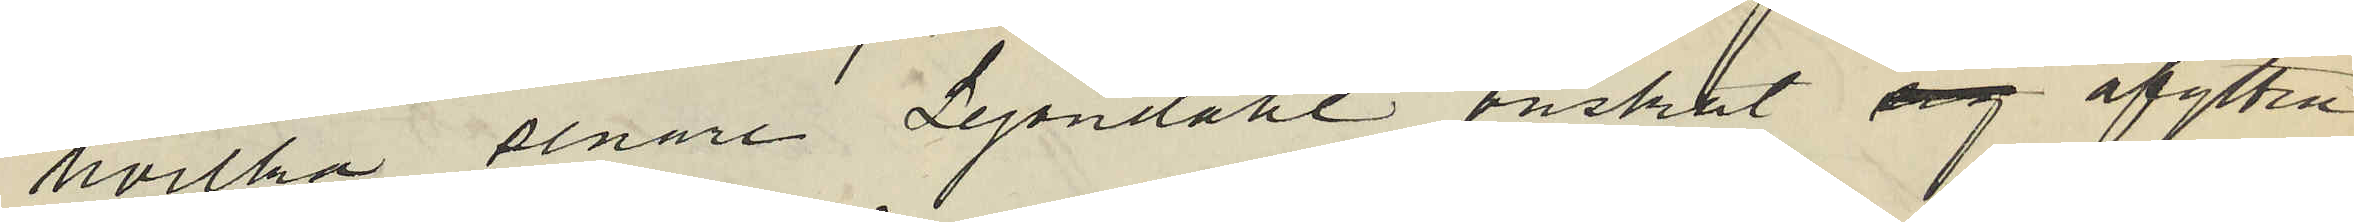hvilka senare Lejondahl önskat sig afyttra
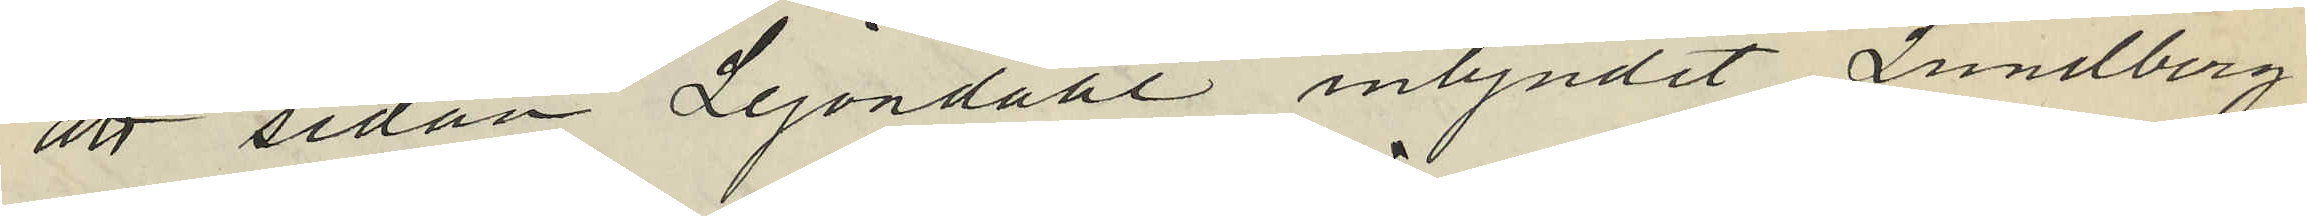att sedan Lejondahl inbjudet Lundberg
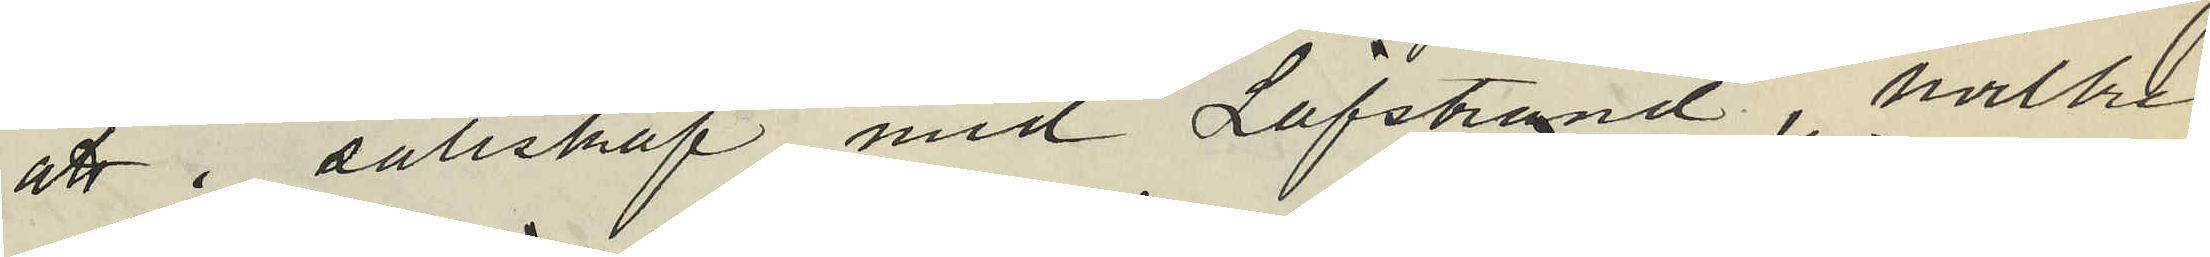att i sällskap med Löfstrand, hvilken
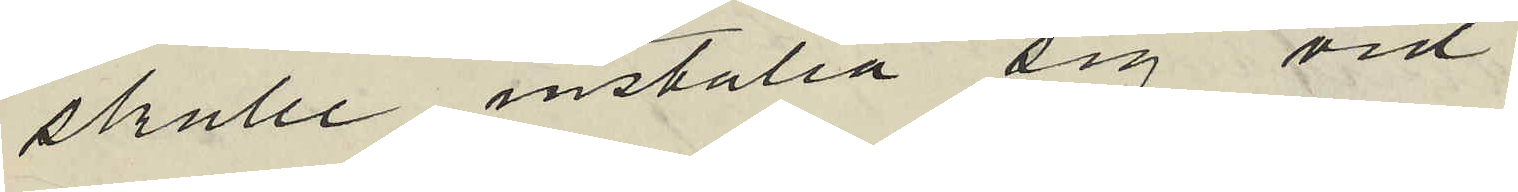skulle inställa sig vid
